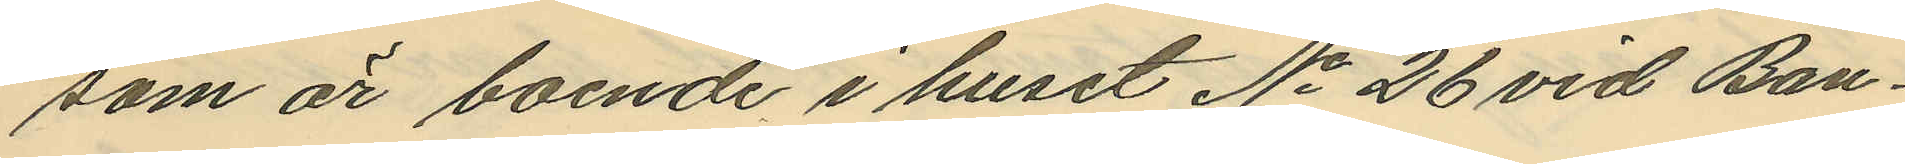som är boende i huset No 26 vid Ban¬
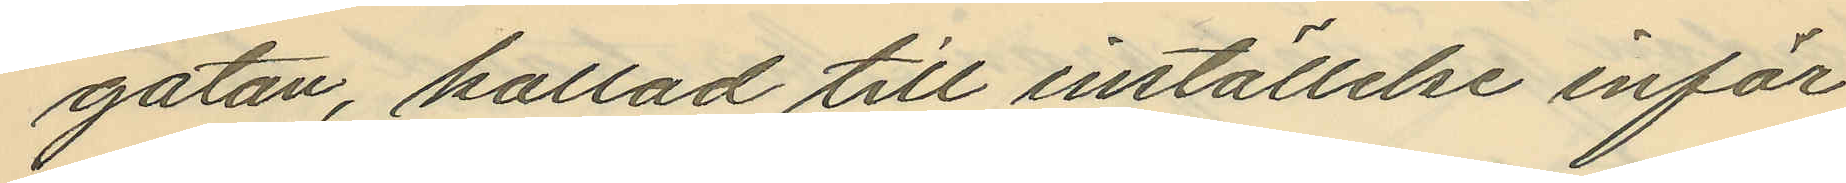gatan, kallad till inställelse inför
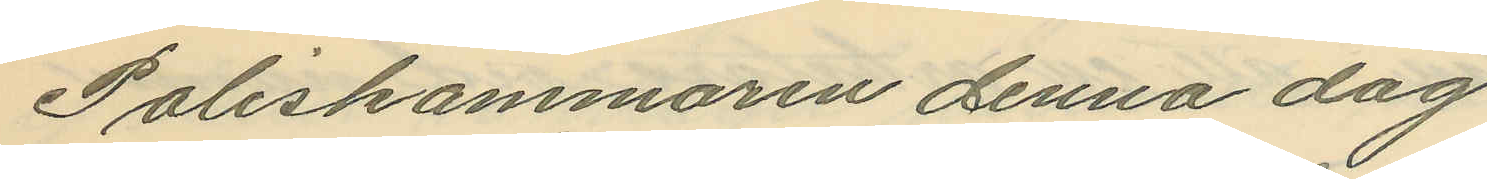Poliskammaren denna dag
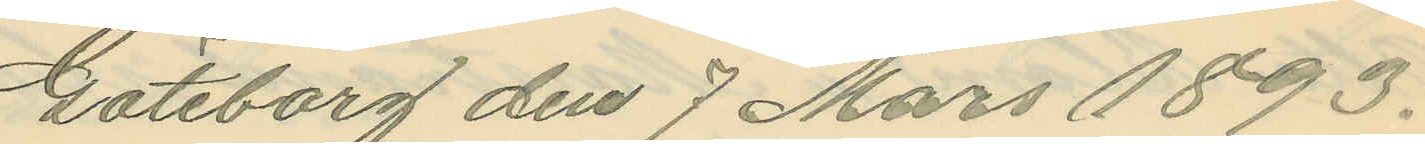Göteborg den 7 Mars 1893.
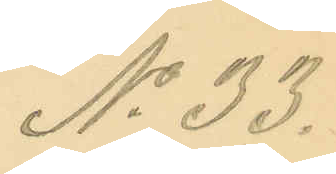No 33.
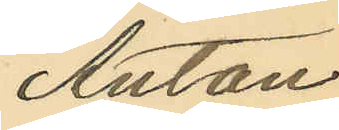Anton
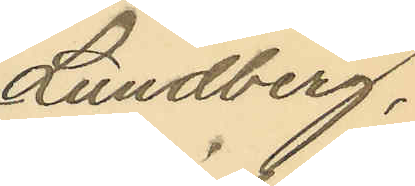Lundberg,
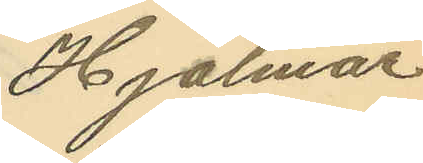Hjalmar
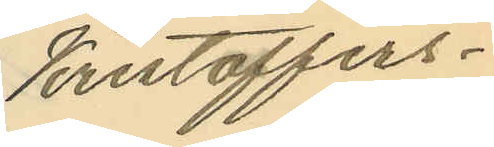Kristoffers¬
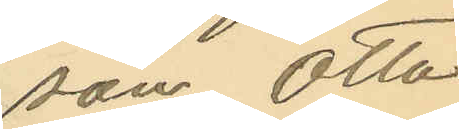son, Otto
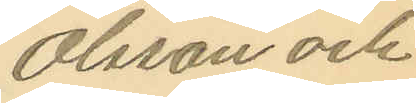Olsson och
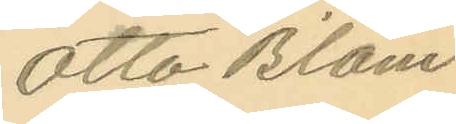Otto Blom
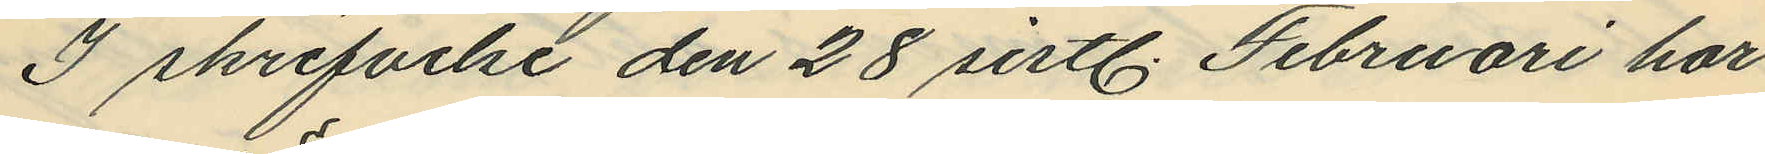I skrifvelse den 28 sistl. Februari har
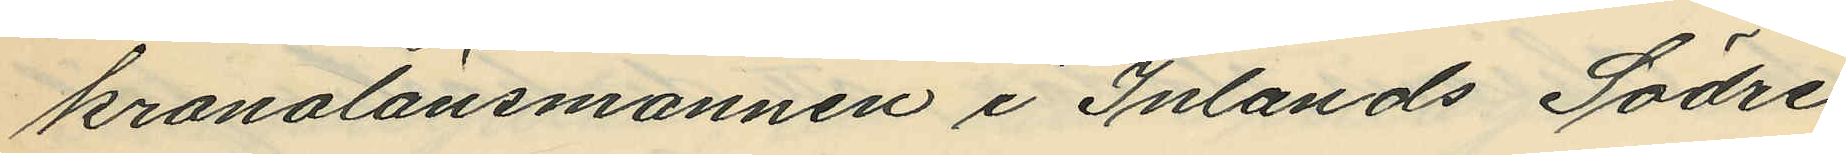kronolänsmannen i Inlands Södre
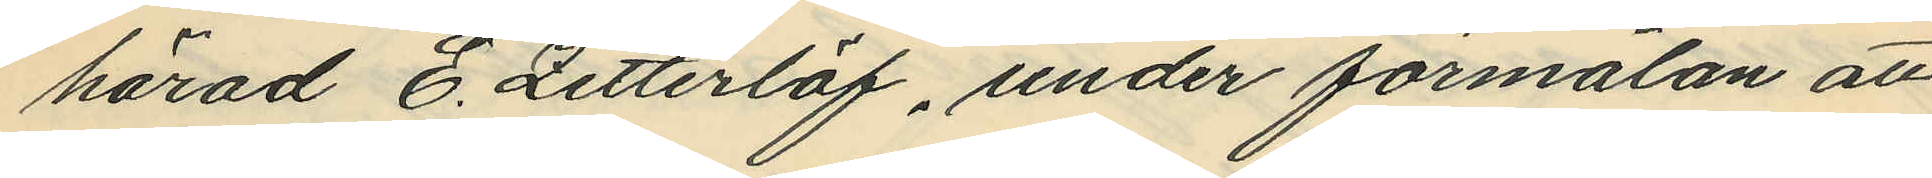härad E. Zetterlöf, under förmälan att
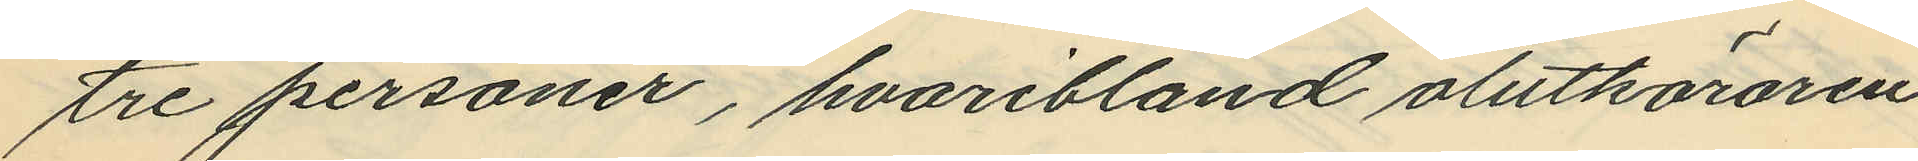tre personer, hvaribland olutköraren
